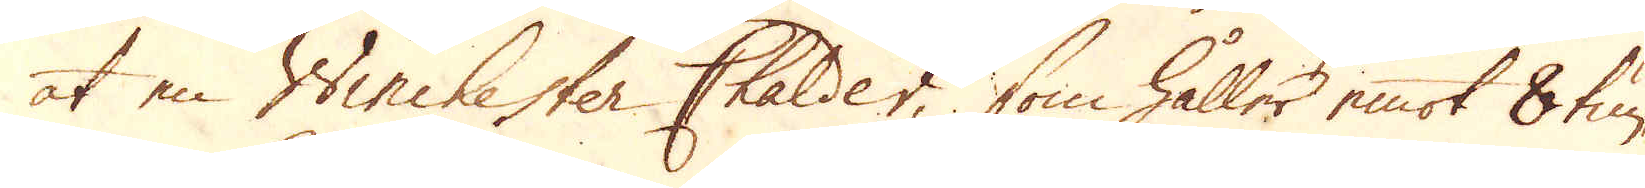at en Winchester Chalder, som håller emot 8 tun-
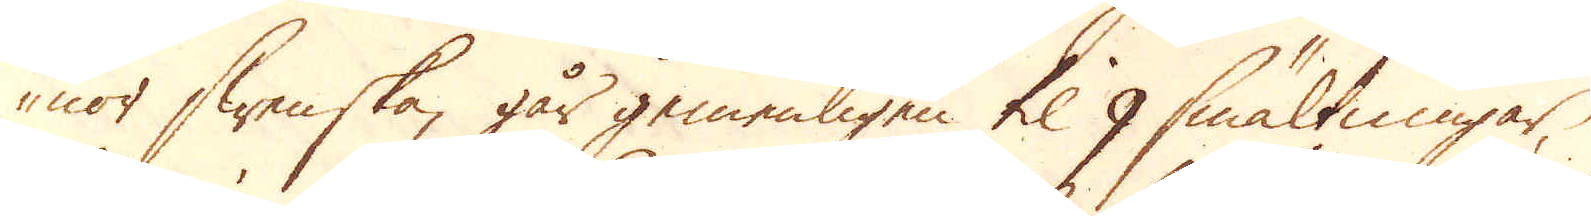nor Swenska, går gemenligen til 9 smältningar,
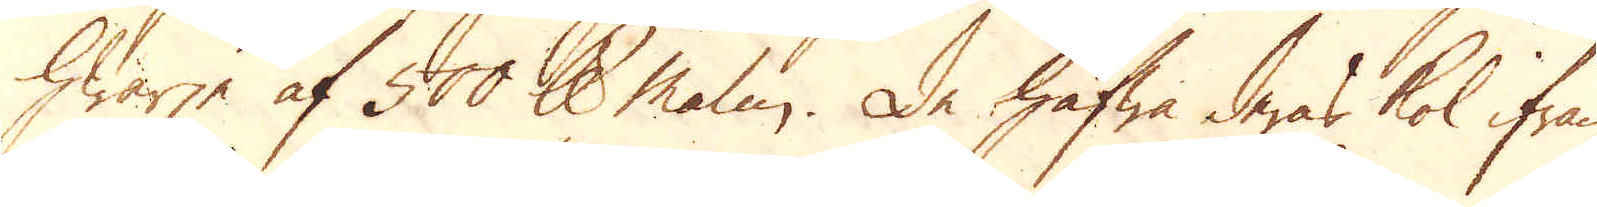hwarje af 500 skålpund malm. De hafwa deras kol ifrån
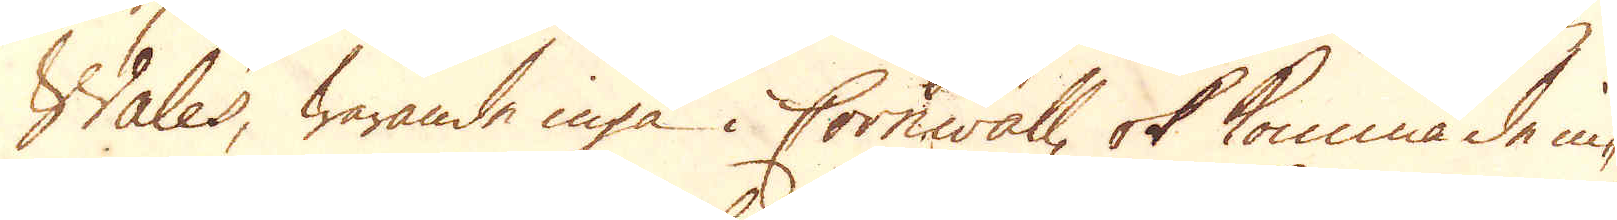Wales, warande inga i Cornwall, ok komma de in-
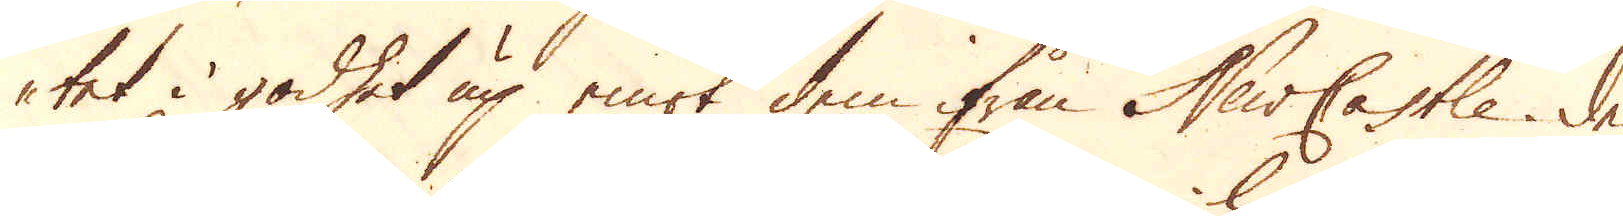tet i godhet up emot dem ifrån NewCastle. De
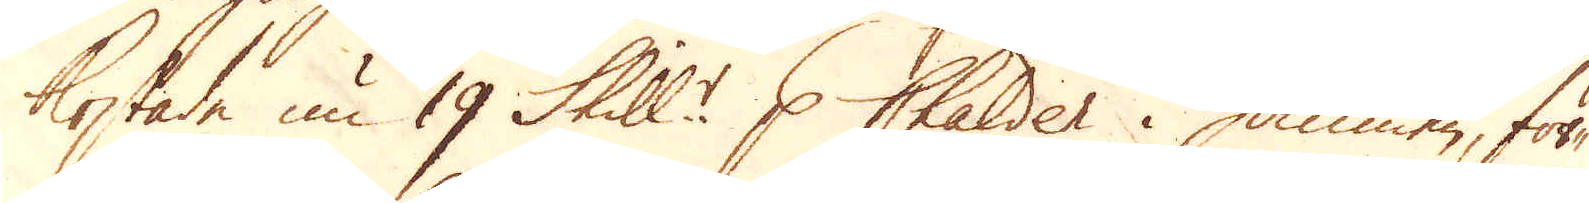kostade nu 19 Skill:r p Chalder i hamnen, för-
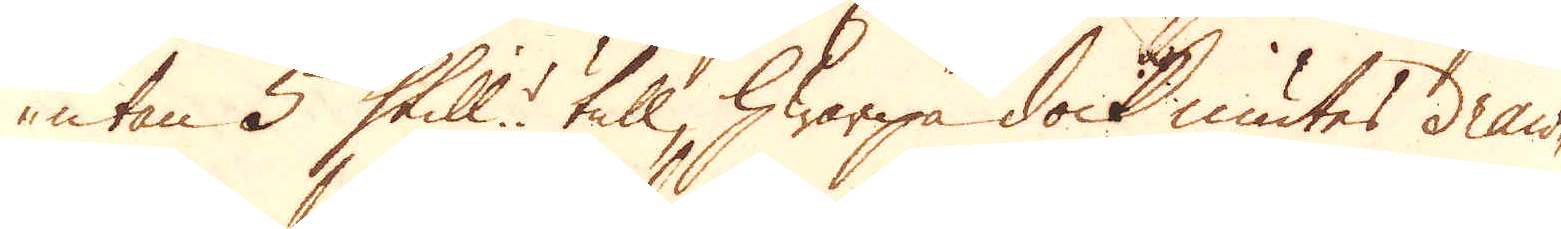utan 5 Skill:r tull, hwarpå dock niutes draw-
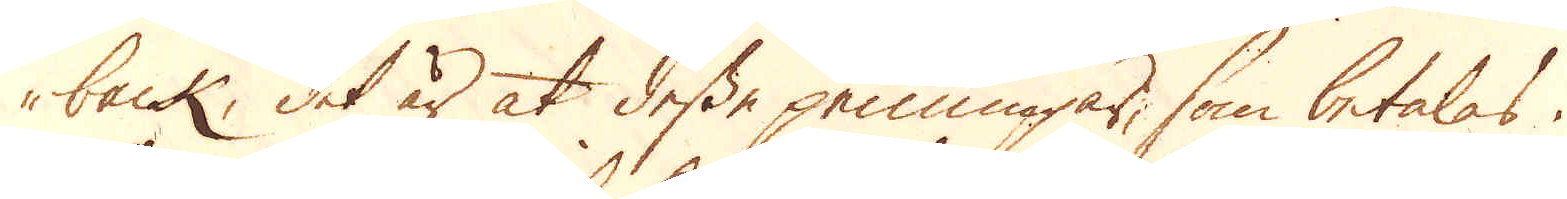back, det är at desse penningar, som betalas,
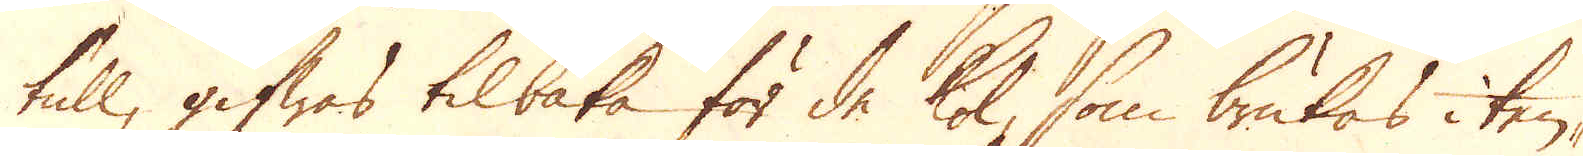tull, gifwas tilbaka för de kol, som brukas i tenn-
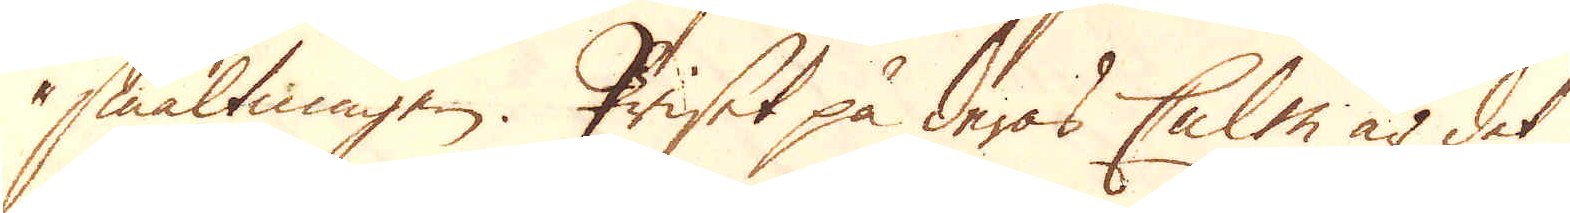smältningen. Priset på deras Culm är det
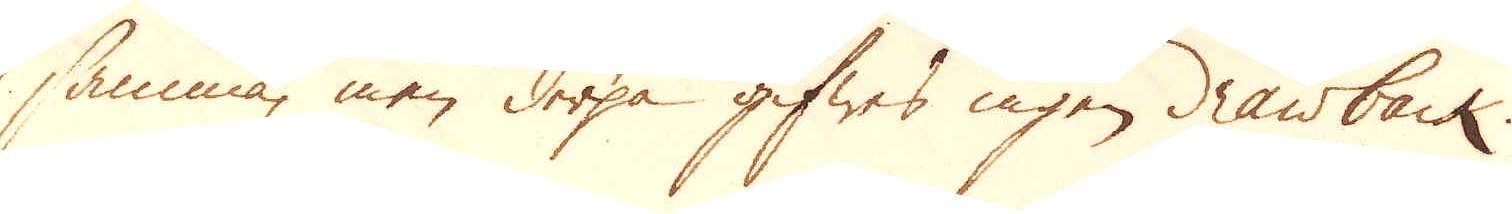samma, men derpå gifwes ingen drawback.
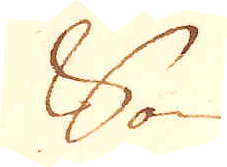Som
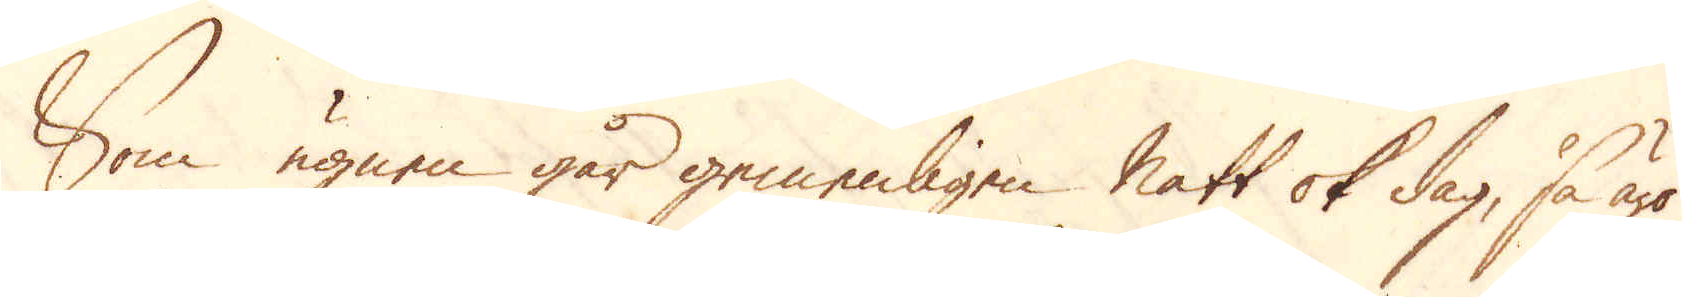Som ugnen går gemenligen natt ok dag, så äro
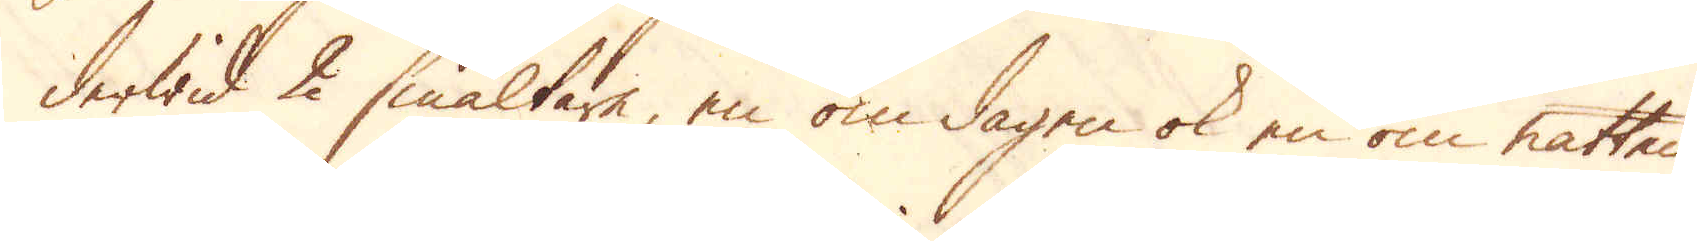derwid 2 smältare, en om dagen ok en om natten,
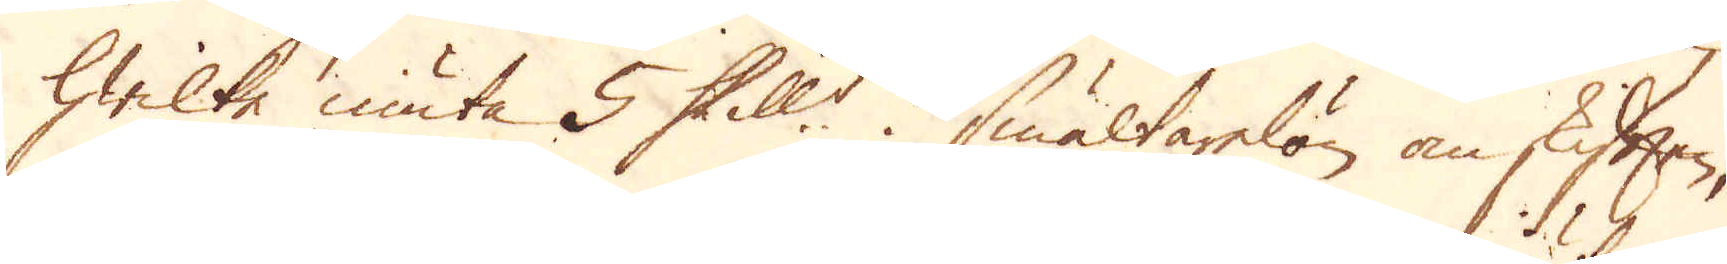hwilke niuta 5 Skill:r i smältarelön om skiften;
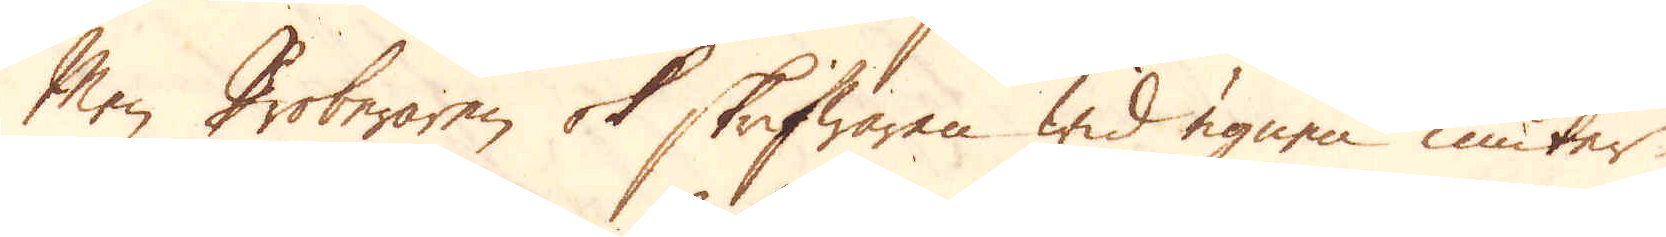Men Proberaren ok skrifwaren wid ugnen niuter
